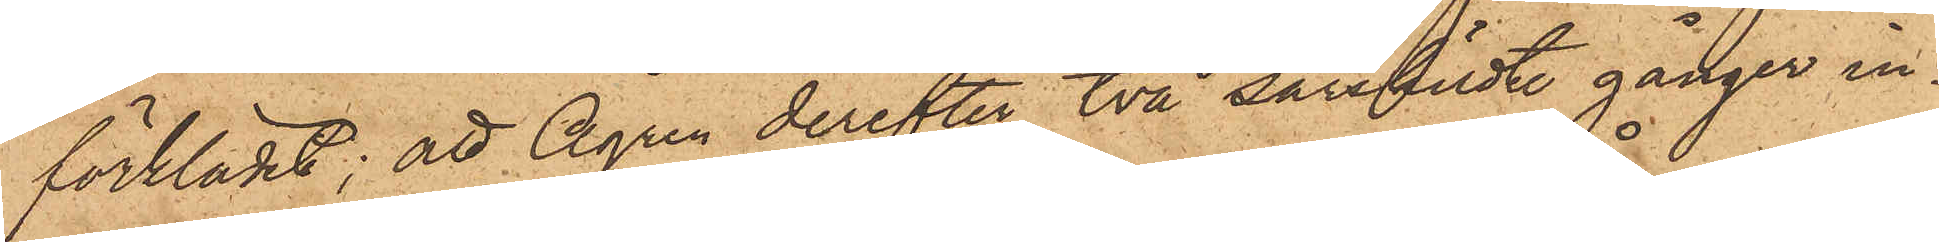förklädet; att Ågren derefter två särskilde gånger in¬
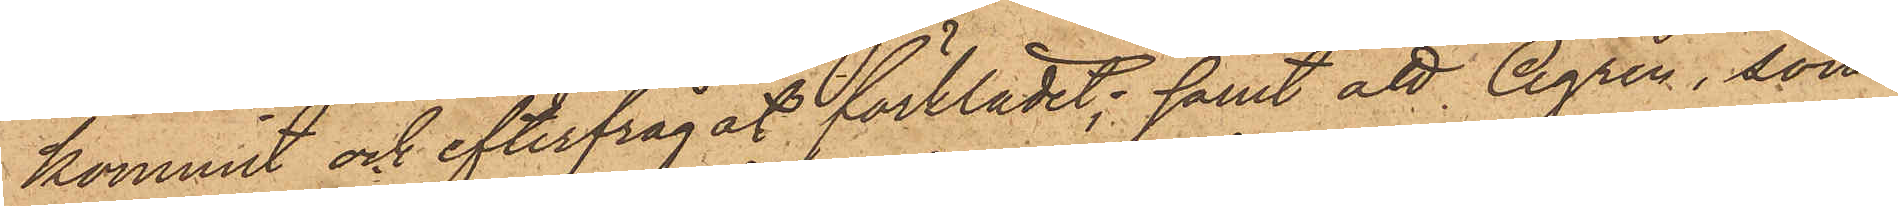kommit och efterfrågat förklädet; samt att Ågren, som
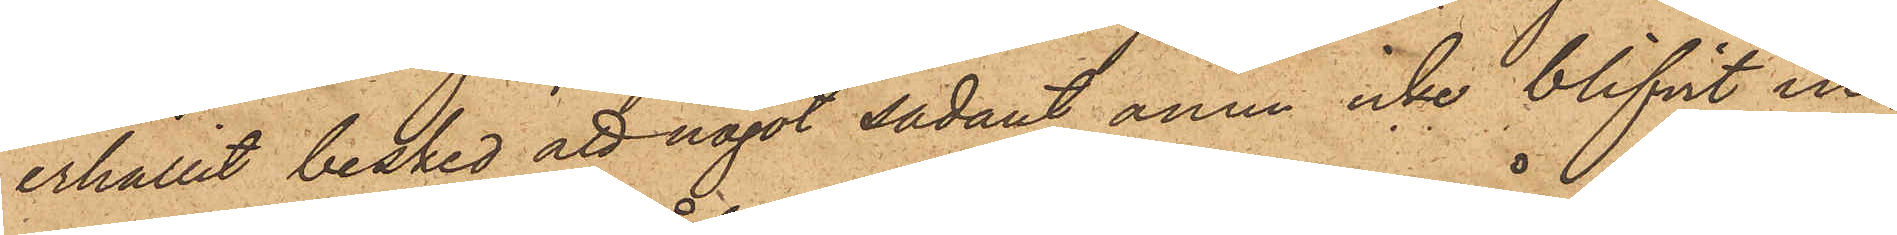erhållit besked att något sådant ännu icke blifvit in¬
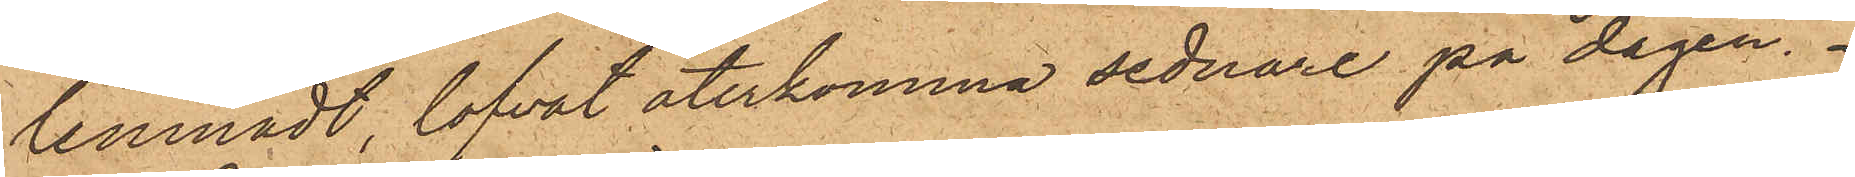lemnadt lofvat återkomma sednare på dagen.
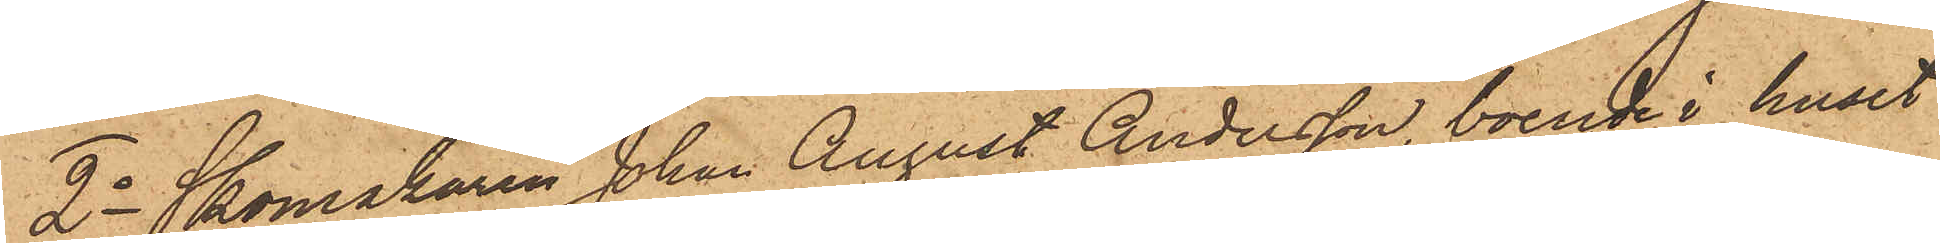2o Skomakaren Johan August Andersson, boende i huset
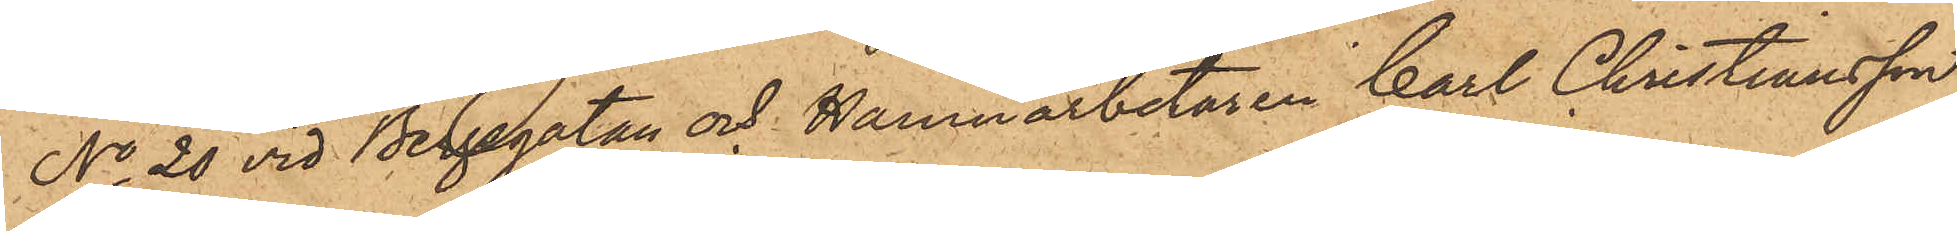No 20 vid Bergsgatan och Hamnarbetaren Carl Christiansson
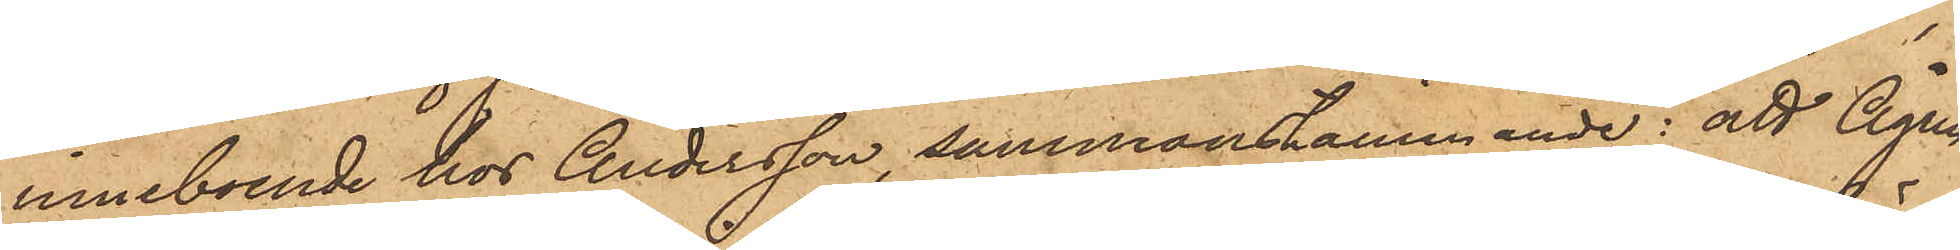inneboende hos Andersson, sammanstämmande: att Ågren
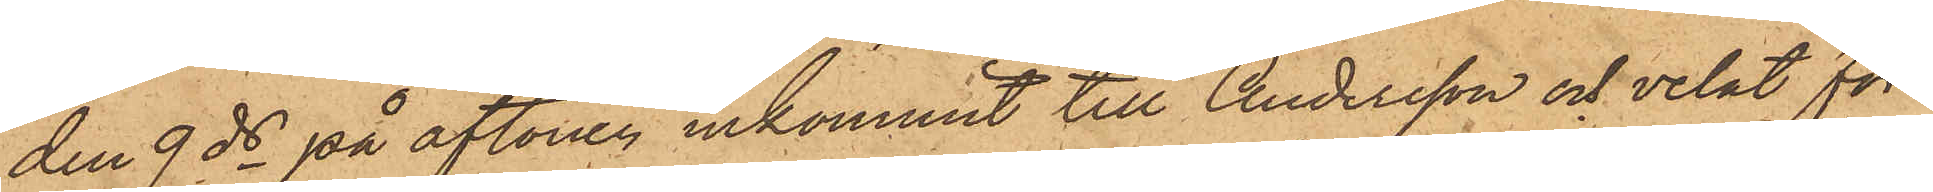den 9 ds på aftonen inkommit till Andersson och velat för¬
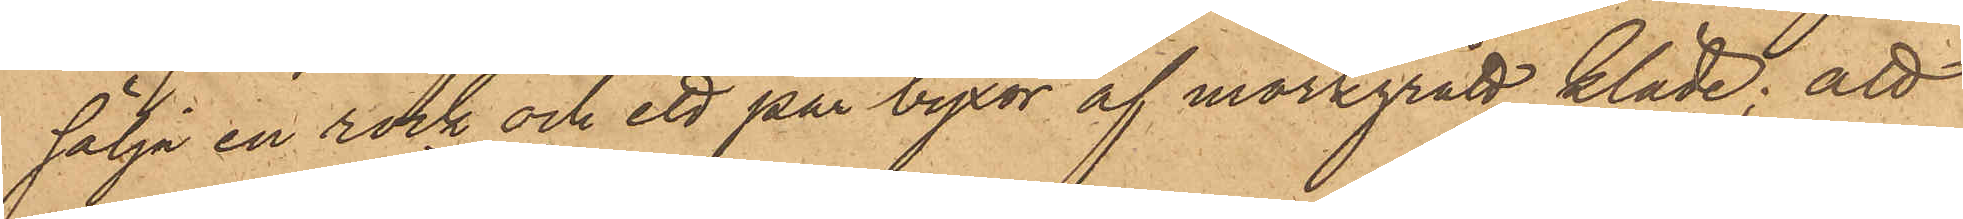sälja en rock och ett par byxor af mörkgrått kläde; att
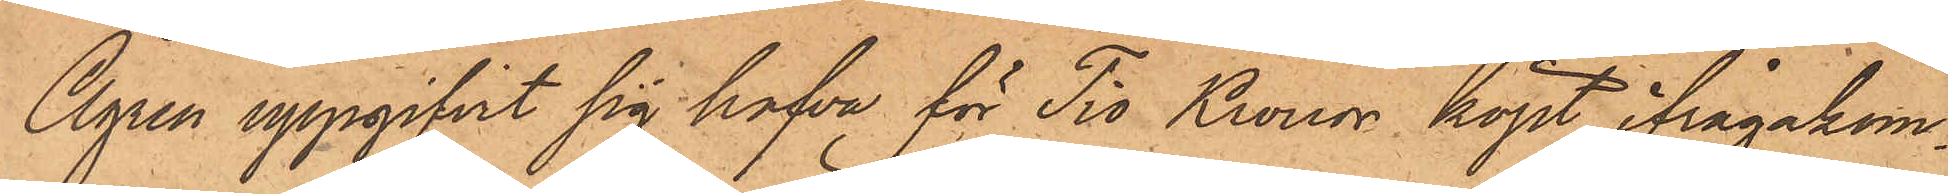Ågren uppgifvit sig hafva för Tio Kronor köpt ifrågakom¬
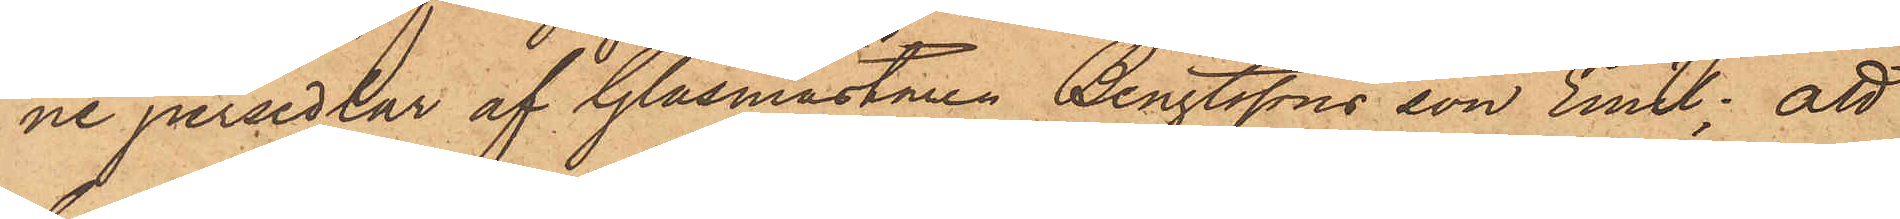ne persedlar af Glasmästaren Bengtssons son Emil; att
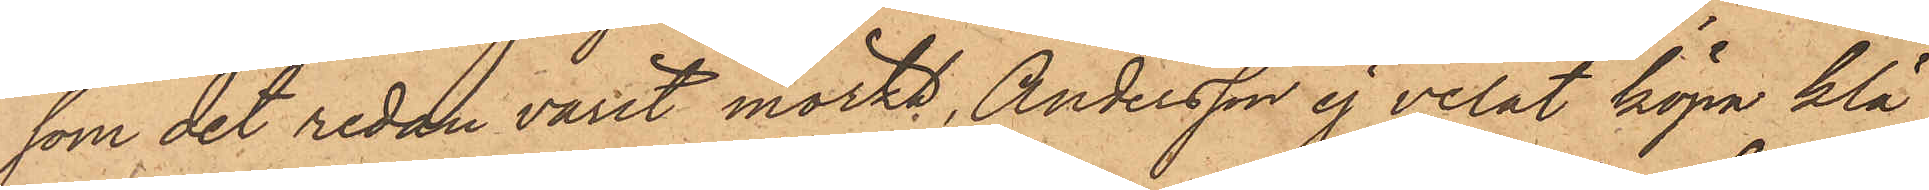som det redan varit mörkt, Andersson ej velat köpa klä¬
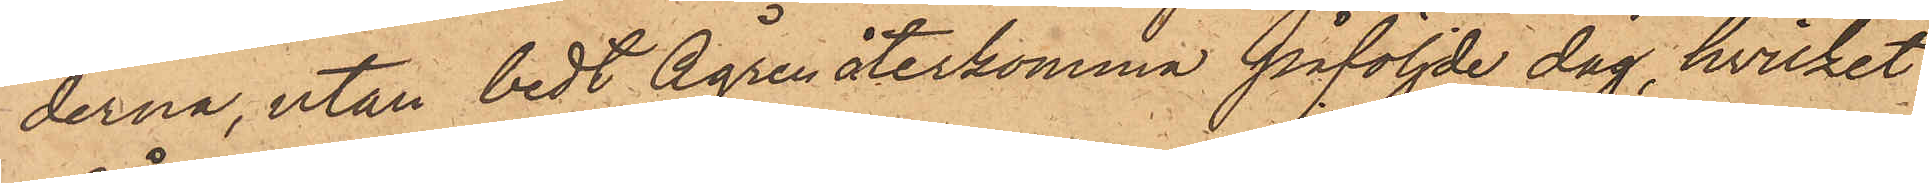derna, utan bedt Ågren återkomma påföljde dag, hvilket
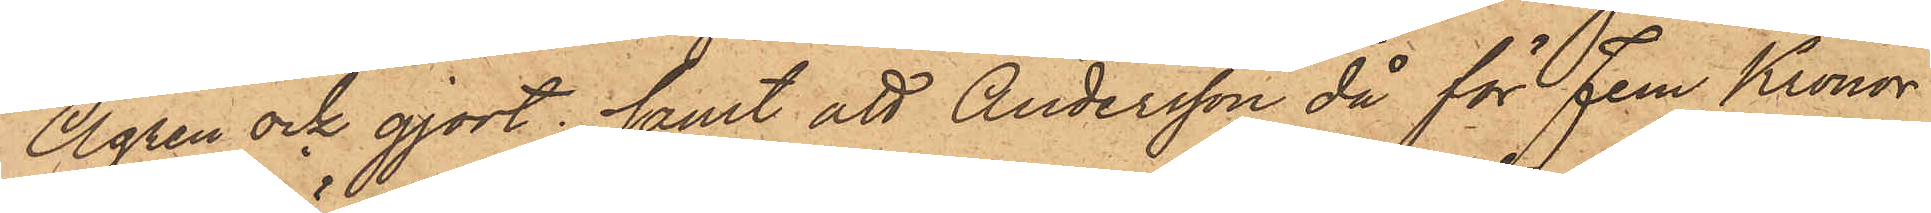Ågren och gjort; samt att Andersson då för fem Kronor
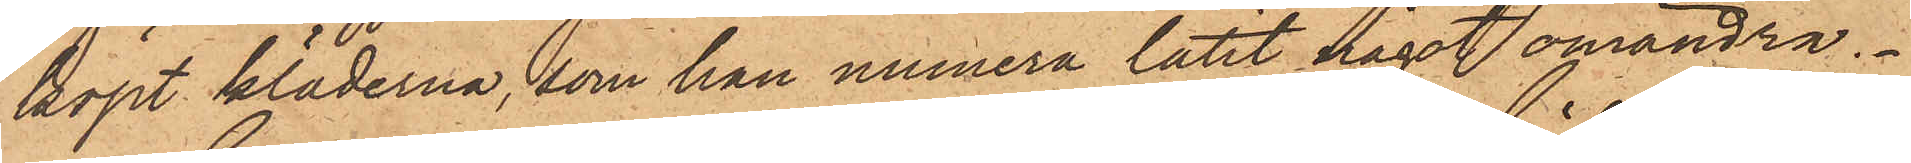köpt kläderna, som han numera låtit något omändra.
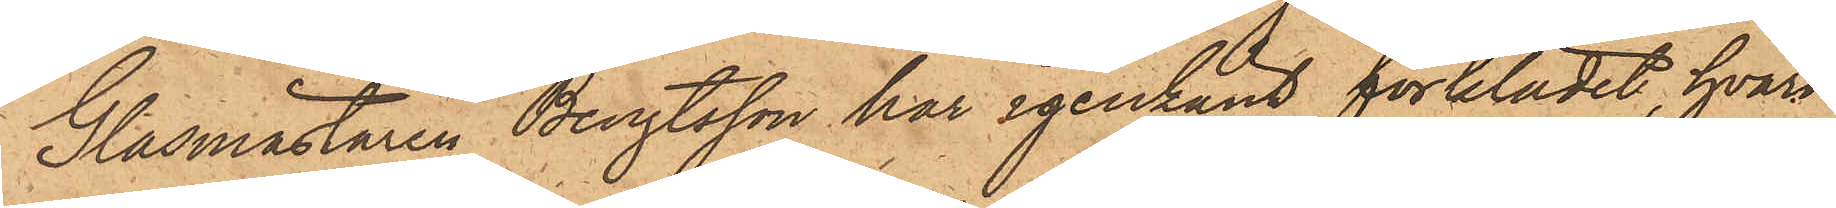Glasmästaren Bengtsson har igenkänt förklädet, hvari
